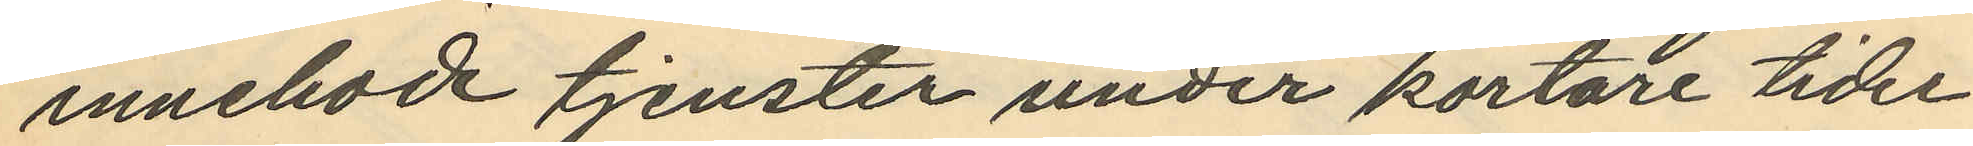innehade tjenster under kortare tider
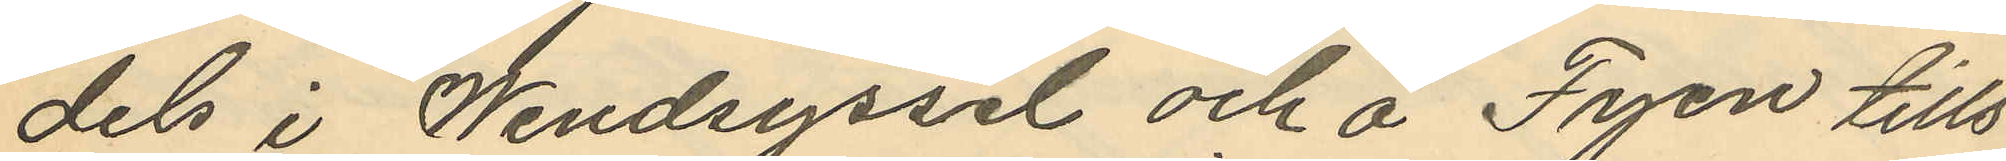dels i Wendsyssel och å Fyen tills
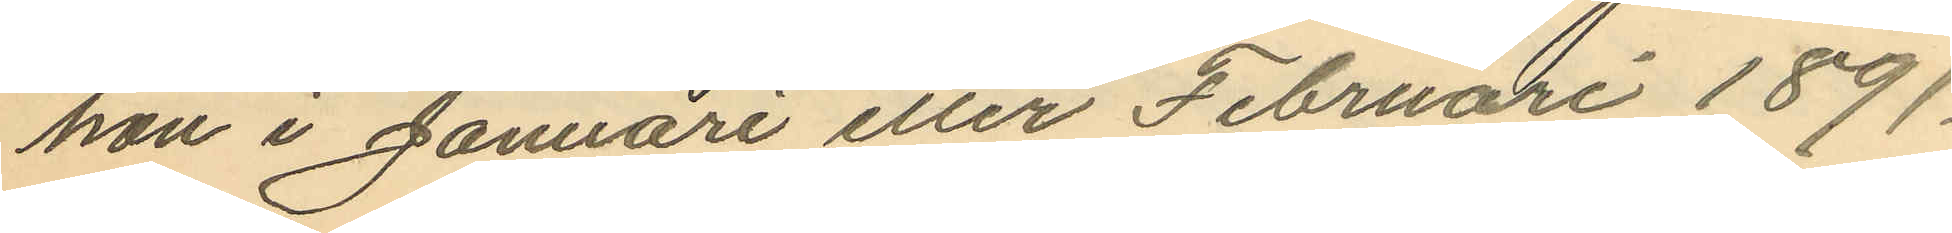hon i Januari eller Februari 1891.
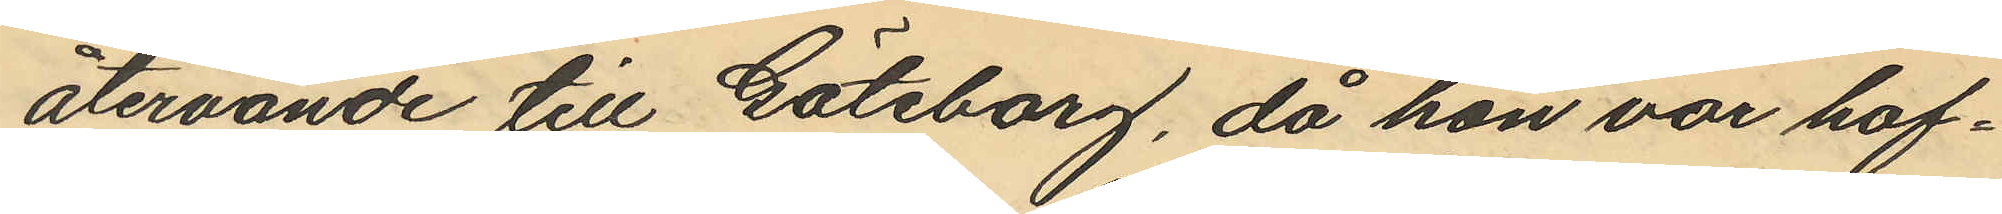återvände till Göteborg, då hon var haf¬
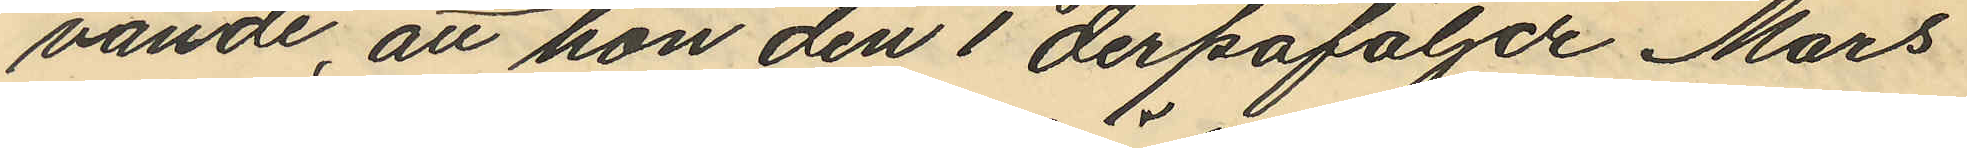vande, att hon den 1 derpåföljde Mars
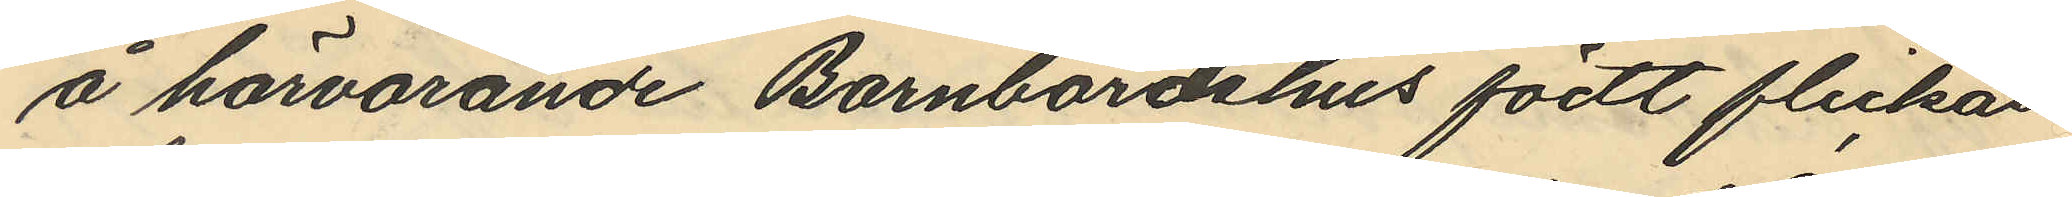å härvarande Barnbördshus födt flickan
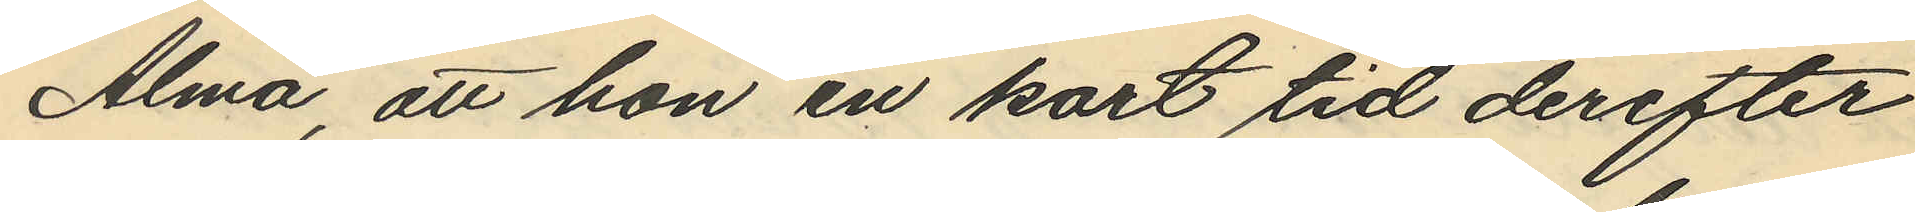Alma, att hon en kort tid derefter
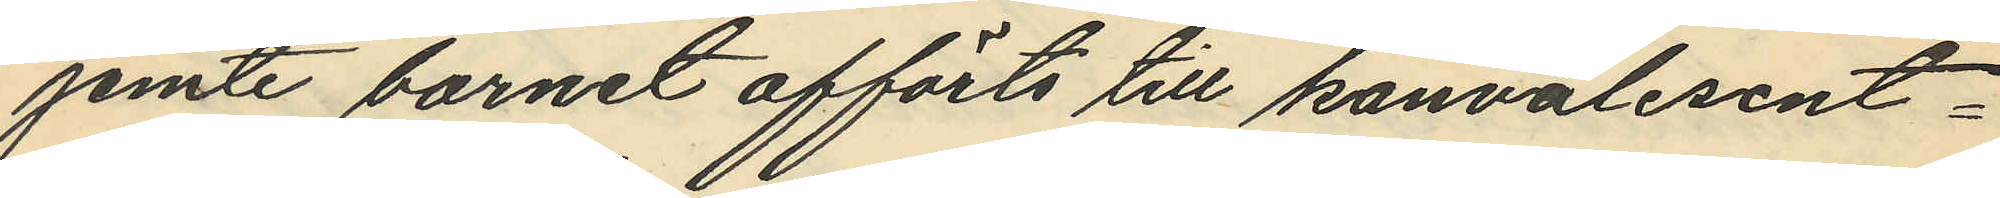jemte barnet afförts till konvalesent¬
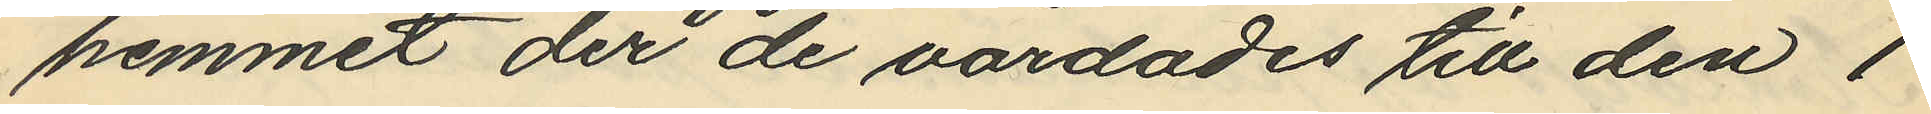hemmet der de vårdades till den 1
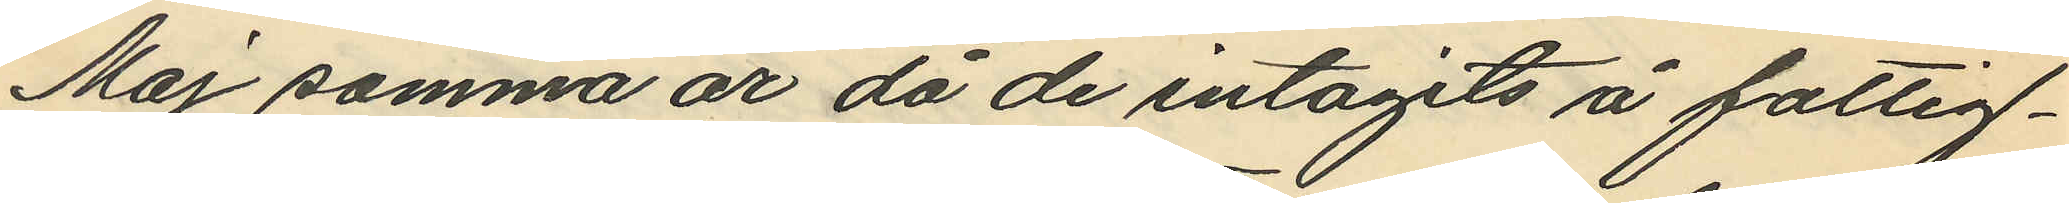Maj samma år då de intagits å fattig¬
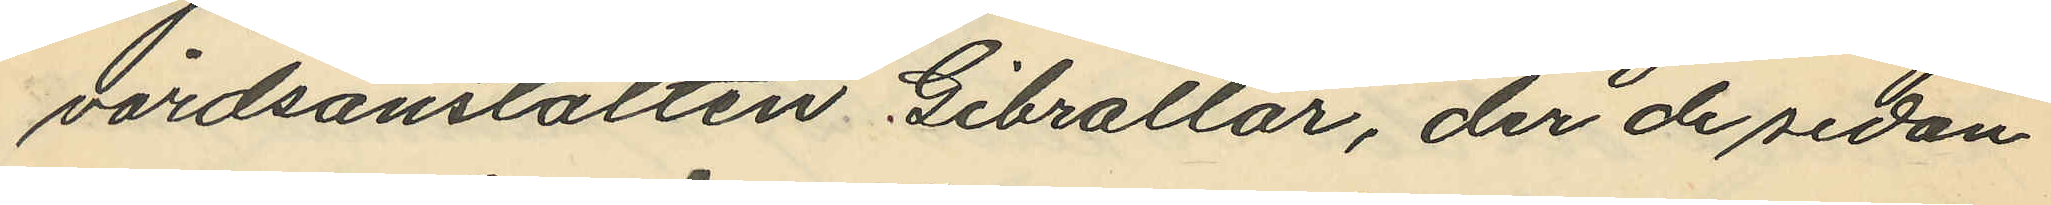vårdsanstalten Gibraltar, der de sedan
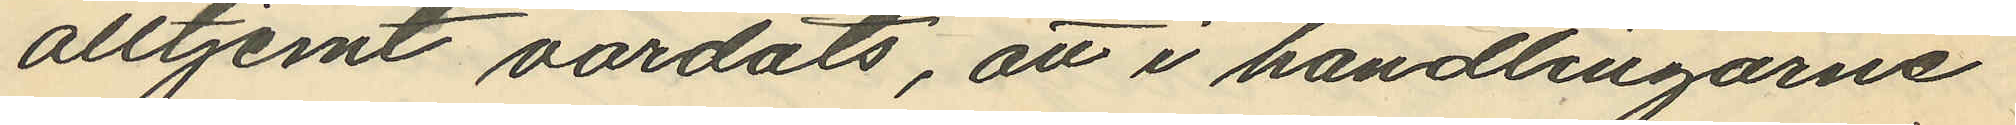alltjemt vårdats, att i handlingarne
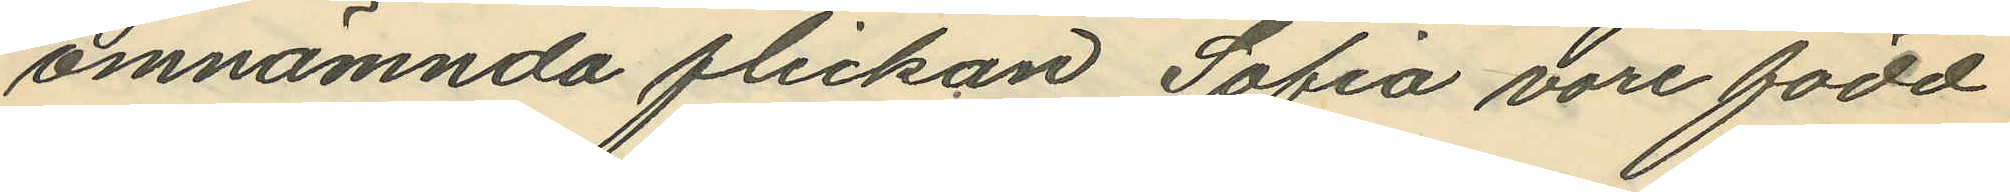omnämnda flickan Sofia vore född
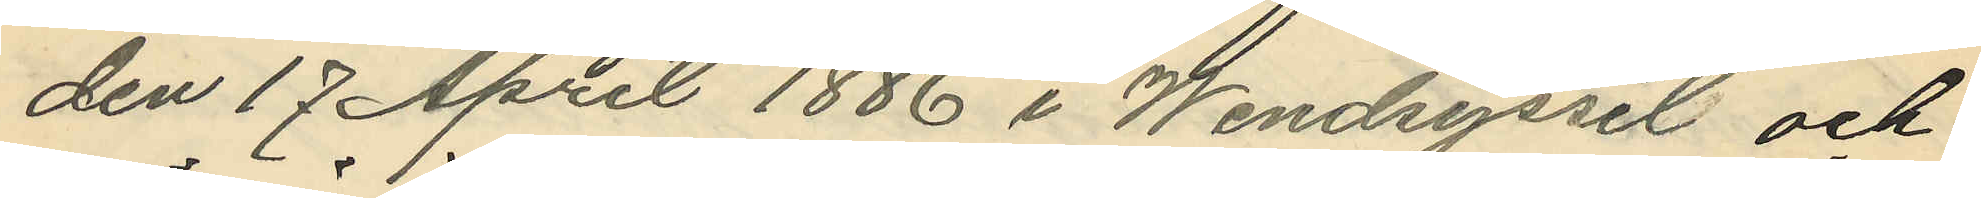den 17 April 1886 i Wendsyssel och
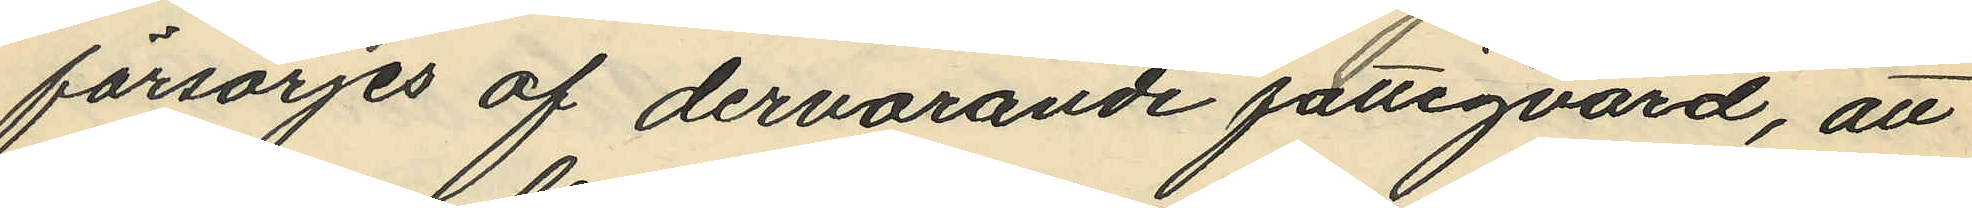försörjes af dervarande fattigvård, att
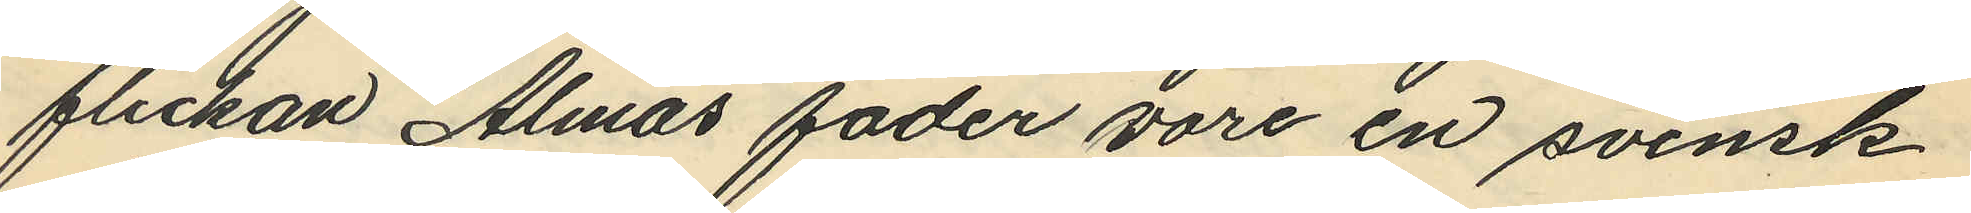flickan Almas fader vore en svensk
